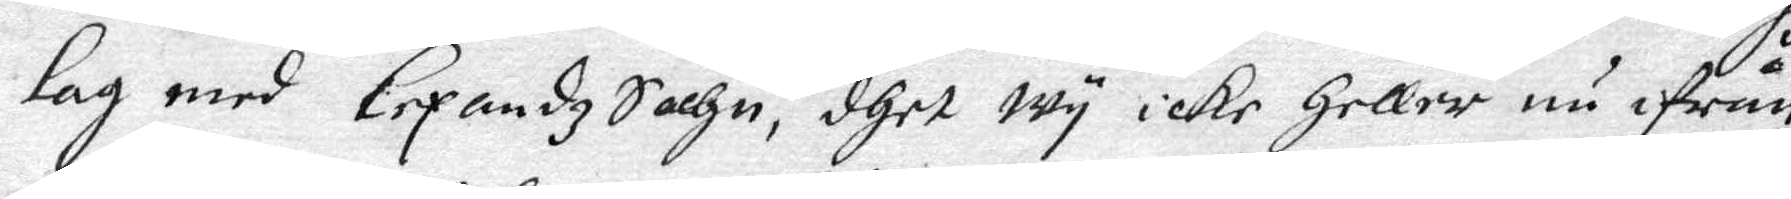lag med Lexandz Sochn, dhet wy icke Heller nu ifrån
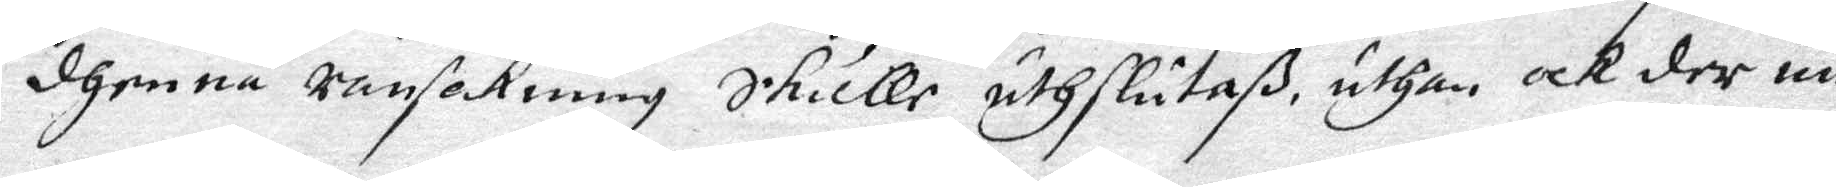dhenna ransakning skulle uthslutaß, uthan, ocj der un¬
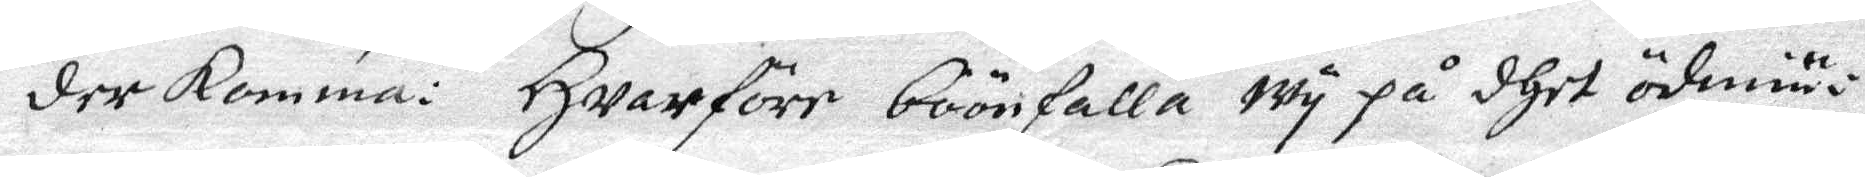der omma: Hwarföre böönfalla wy på dhet ödmiu¬
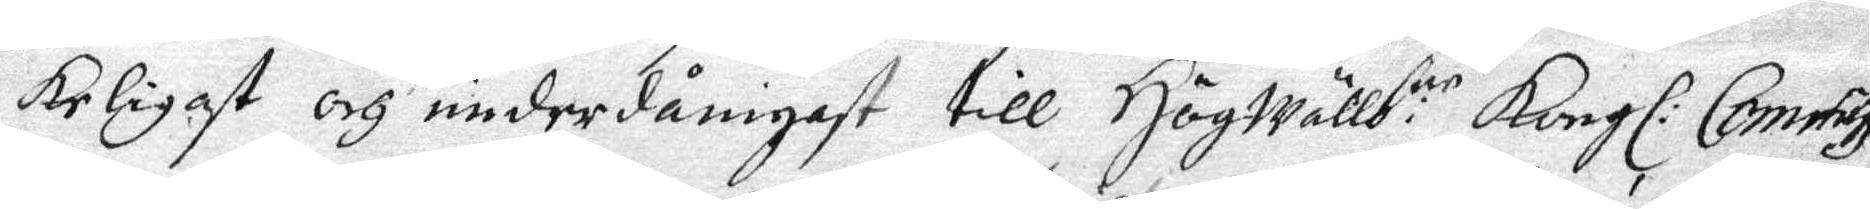keligast och underdånigast till Högwällb:ne Kongl: Commiss:
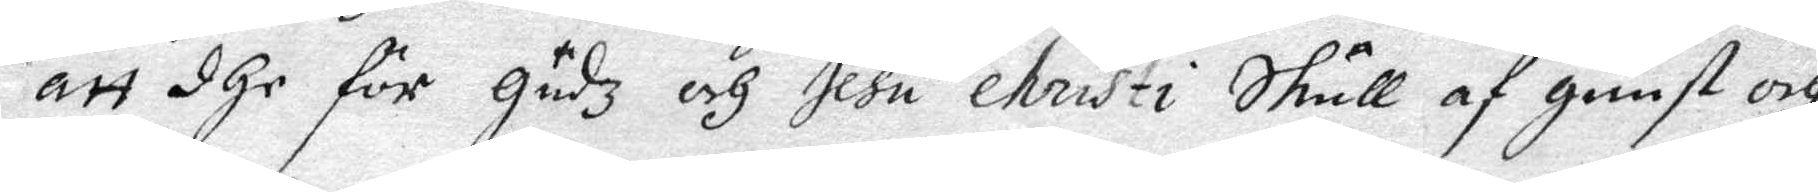att dhe för Gudz och Jesu Christi skull af gunst och
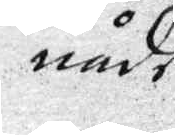nåde
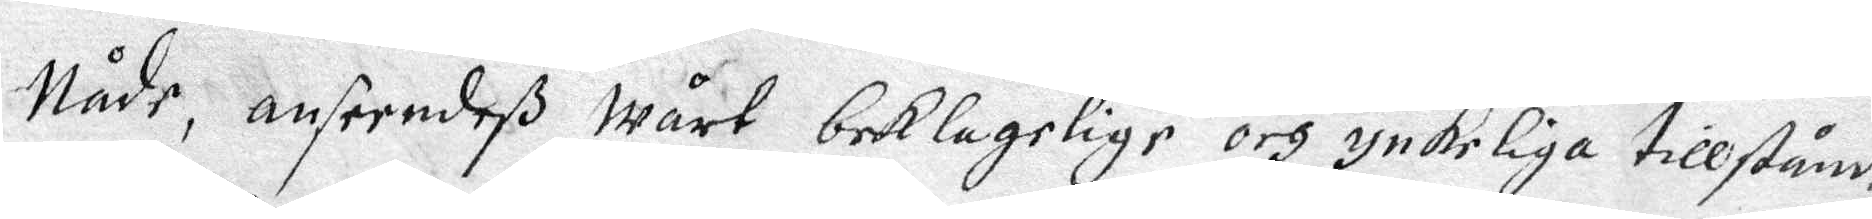Nåde, anseendeß wårt beklagelige och ynkeliga tillstånd,
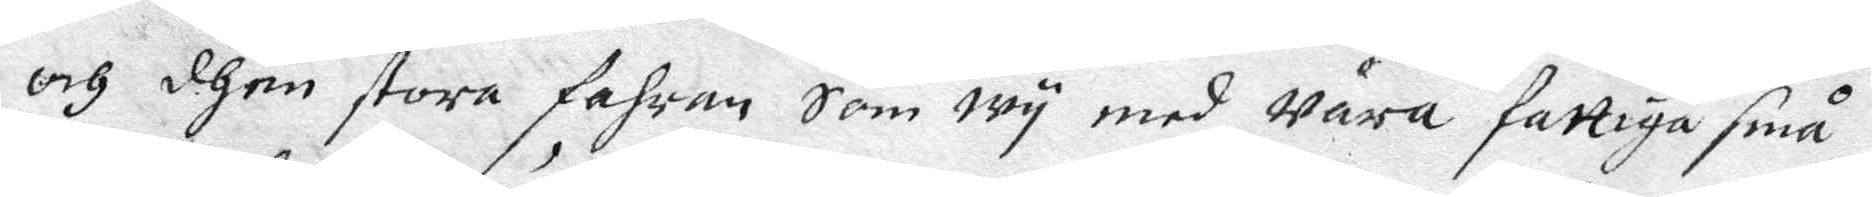och dhen stora fahra som wy med wåra fattiga små
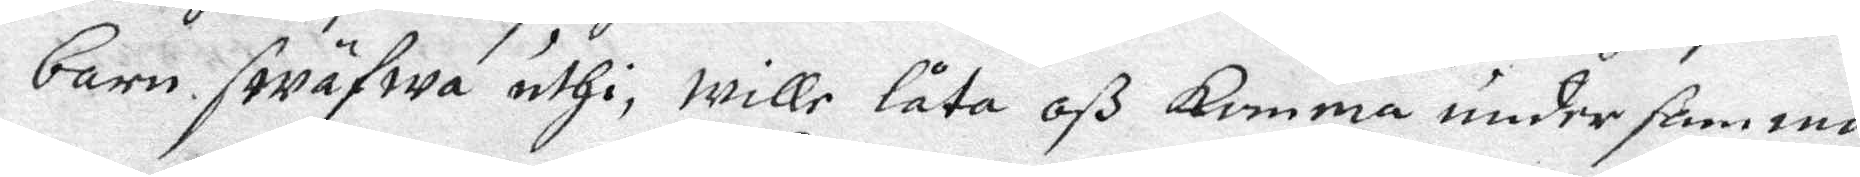barn swäfwa uthi, wille oß komma under samma
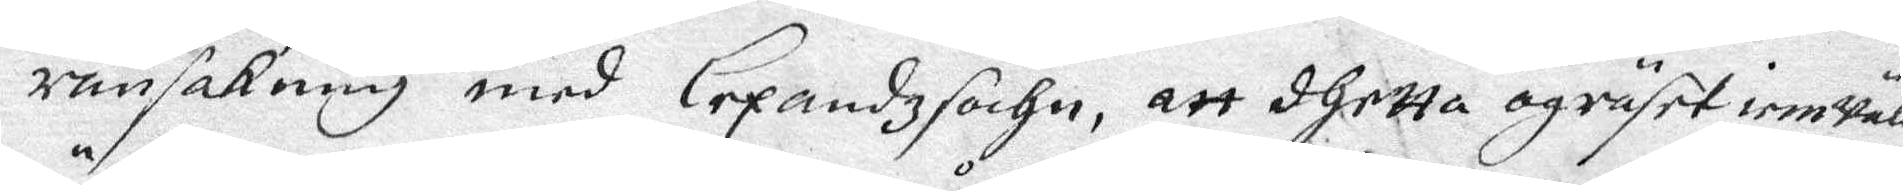ransakning med Lexandz sochn, att dhetta ogräset iemwäll
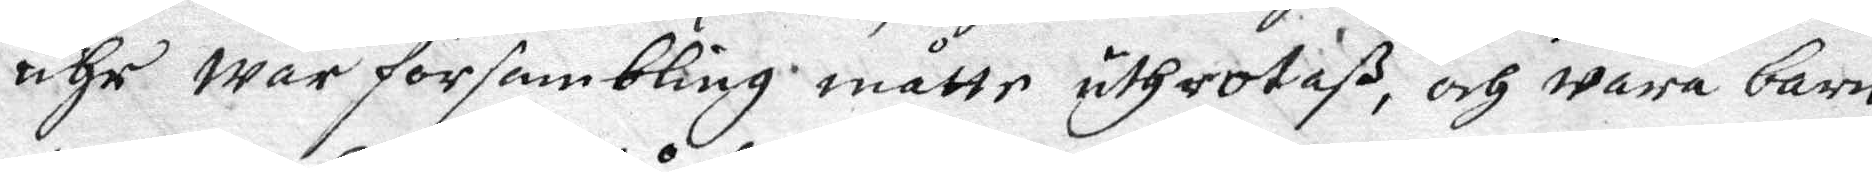ähr wår församling måtte uthrotaß, och wåra barn
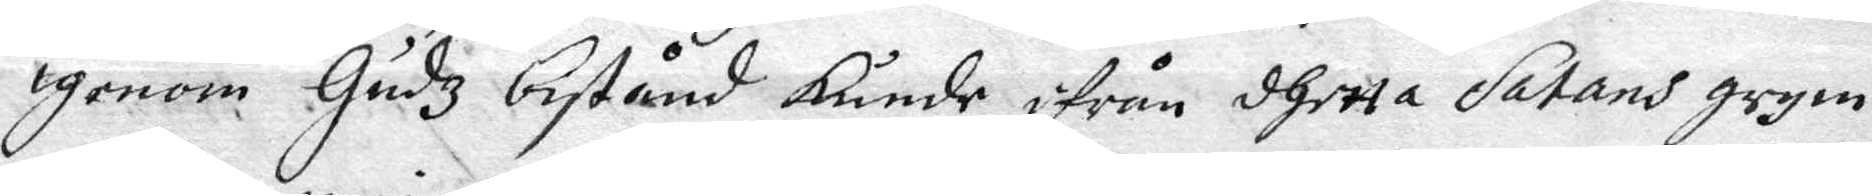igenom Gudz bistånd kunde ifrån dhetta Satans grym¬
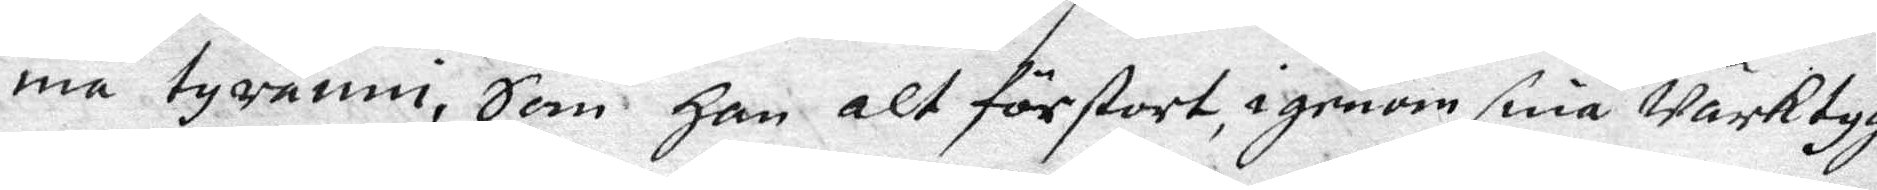ma tyranni, Som Han alt förstort, igenom sina Wärktyg,
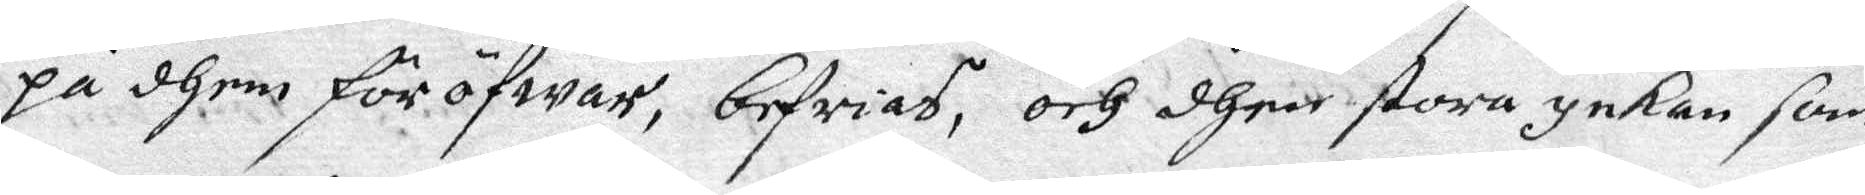på them föröfwar, befrias, och dhen stora ynkan som
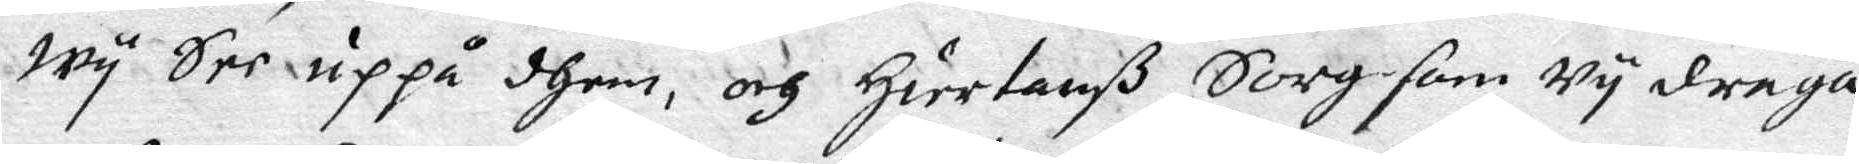wy See uppå dhem, och Hiertanß Sorg som wy draga,
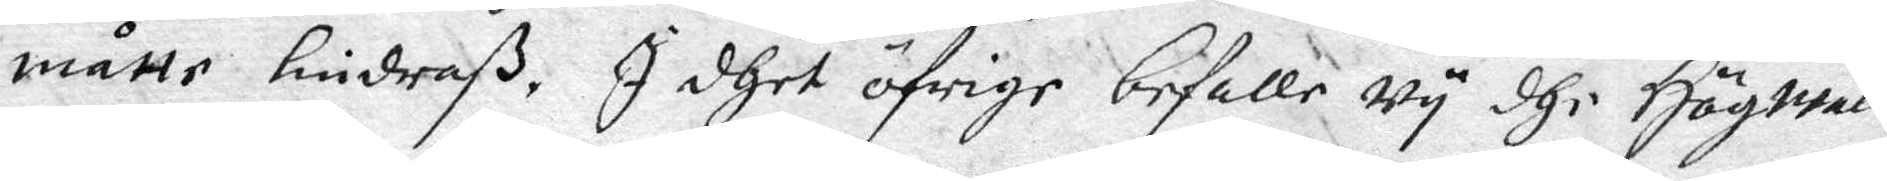måtte lindraß. I dhet öfrige befalle wy dhe Högwäll¬
